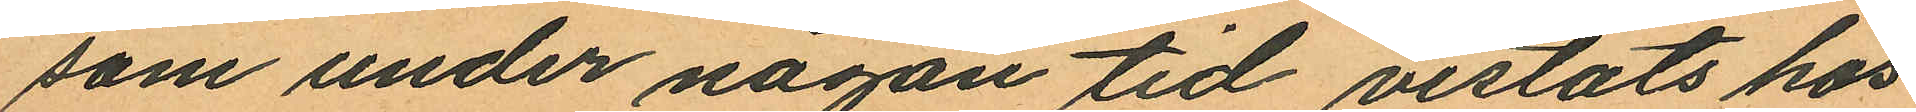som under någon tid vistats hos
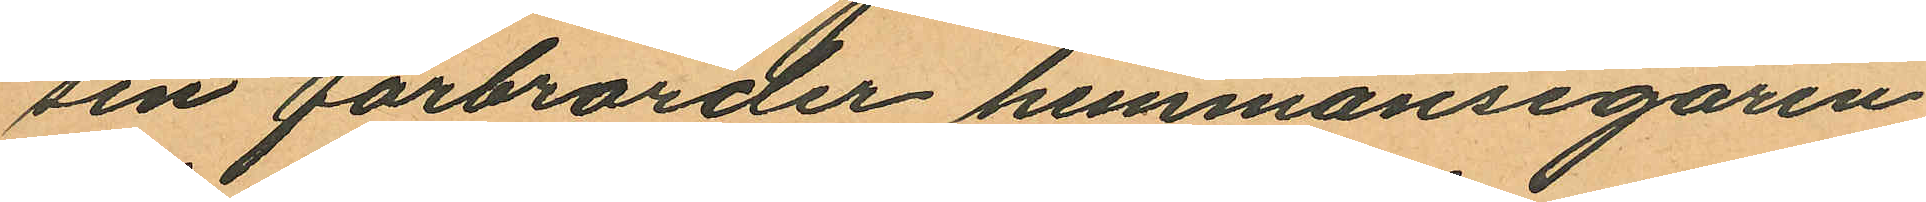sin farbrorder hemmansegaren
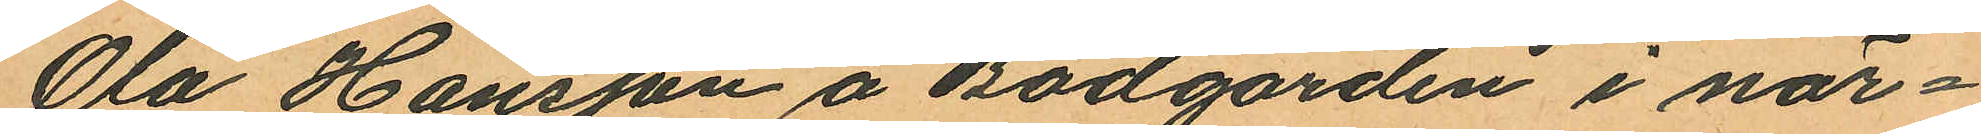Ola Hansson å Bodgården i när¬
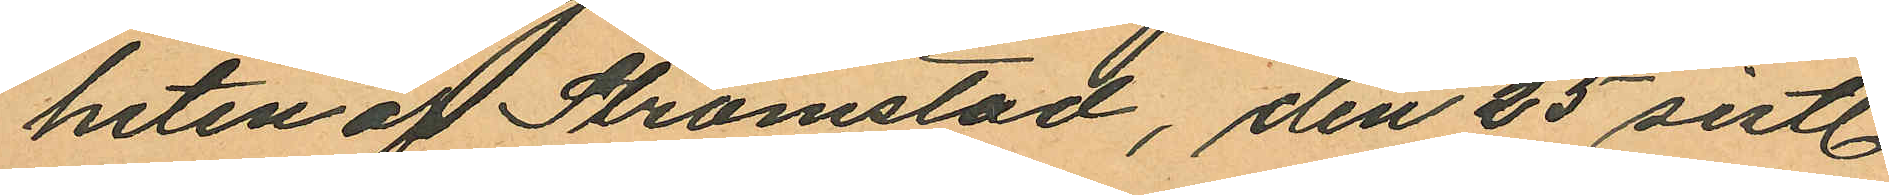heten af Strömstad, den 25 sistl.
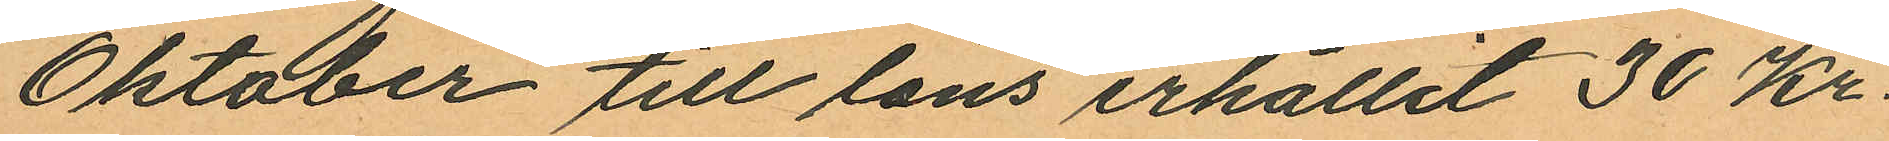Oktober till låns erhållit 30 Kr.
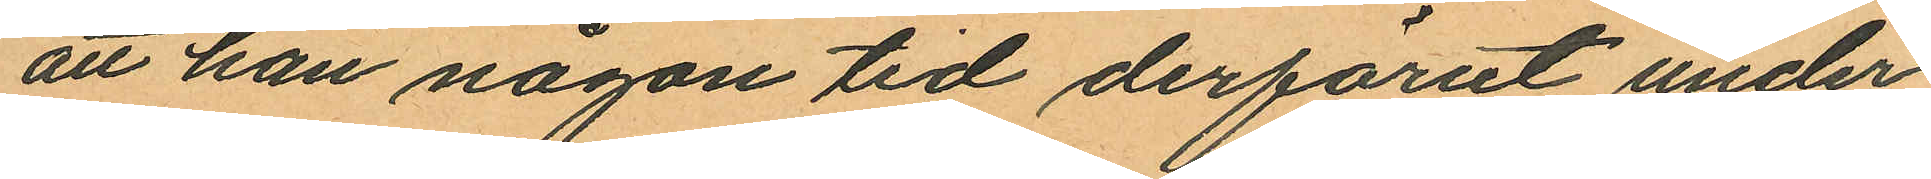att han någon tid derförut under
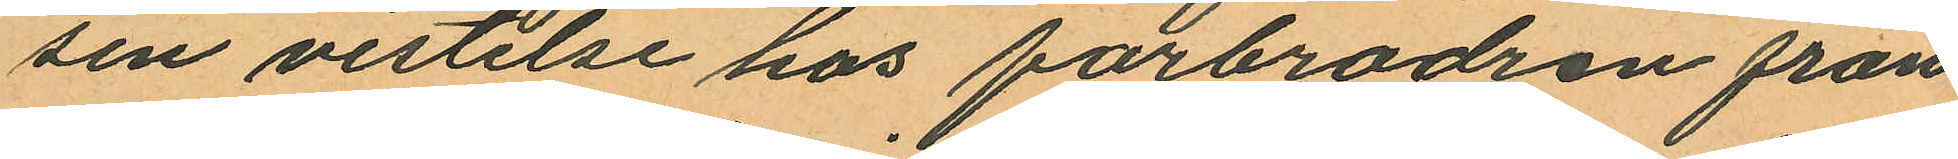sin vistelse hos farbrodren från
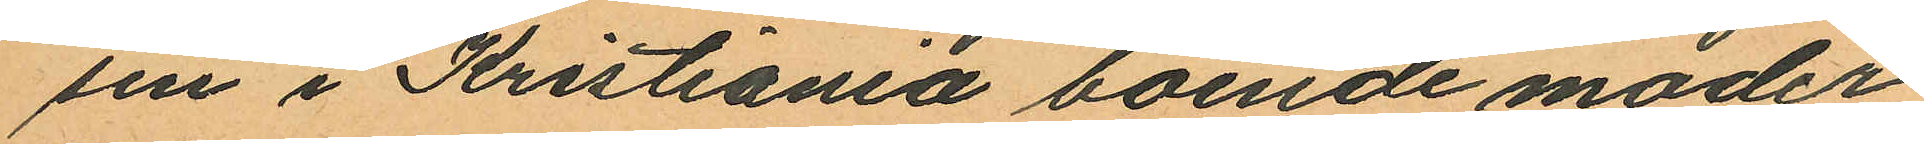sen i Kristiania boende moder
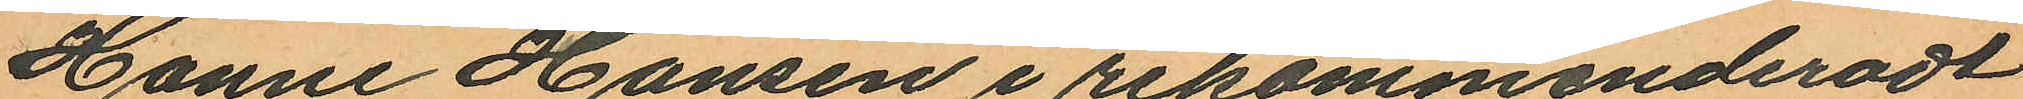Hanne Hansen i rekommenderadt
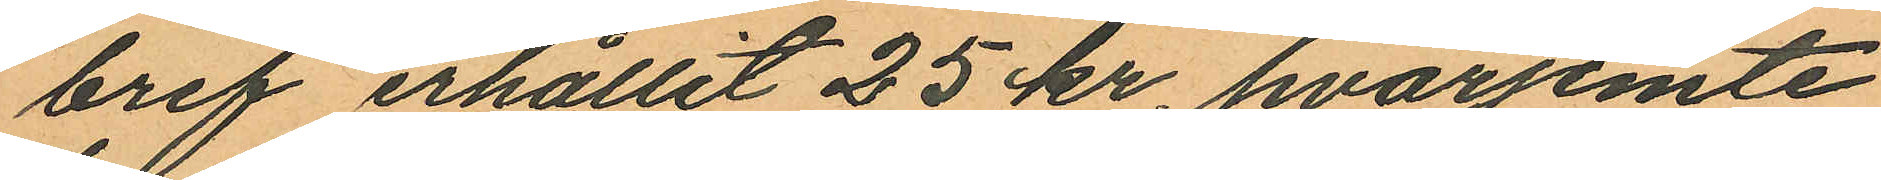bref erhållit 25 kr hvarjemte
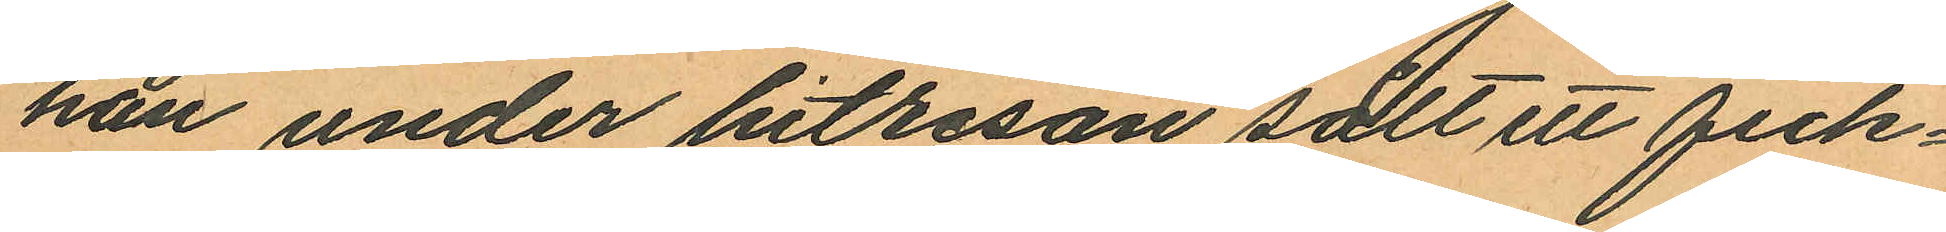han under hitresan sålt ett fick¬
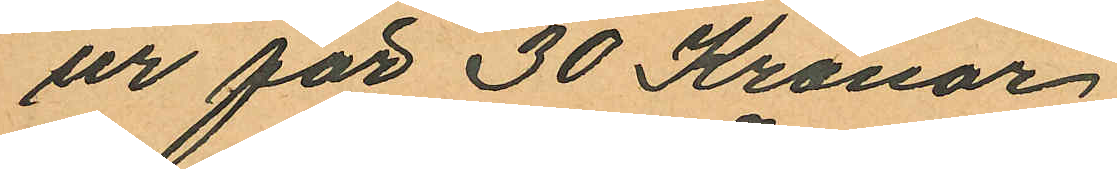ur för 30 Kronor.
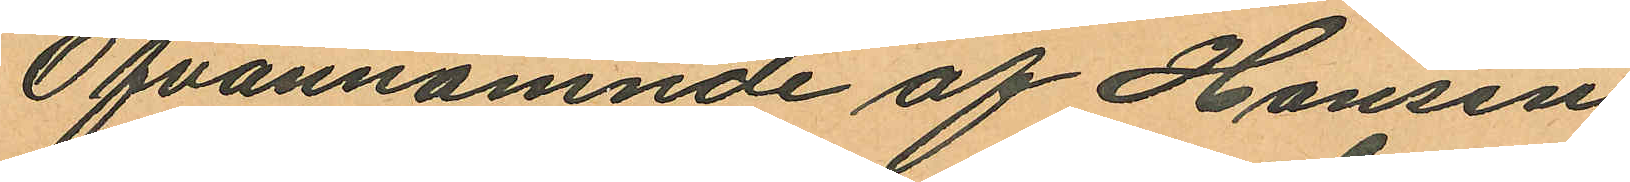Ofvannämnde af Hansen
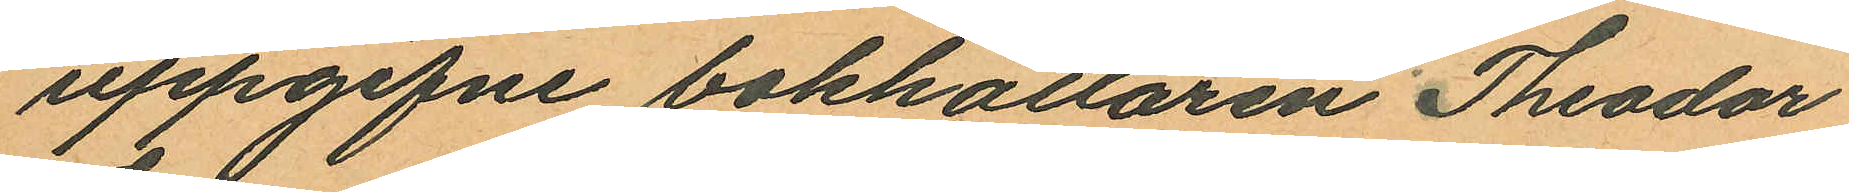uppgifne bokhållaren Theodor
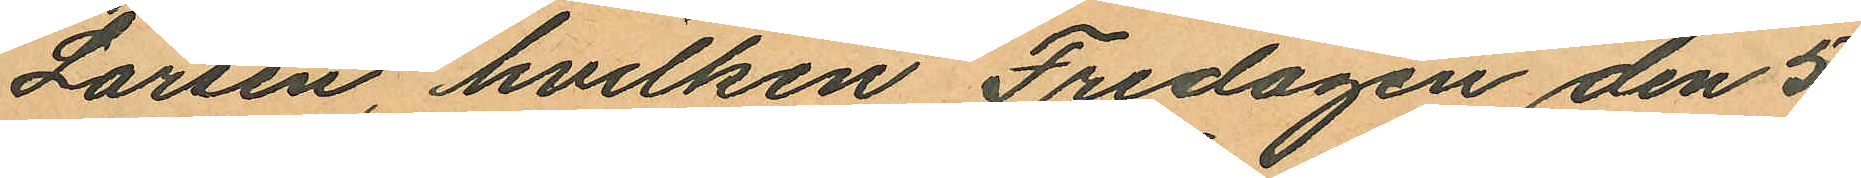Larsen, hvilken Fredagen den 5
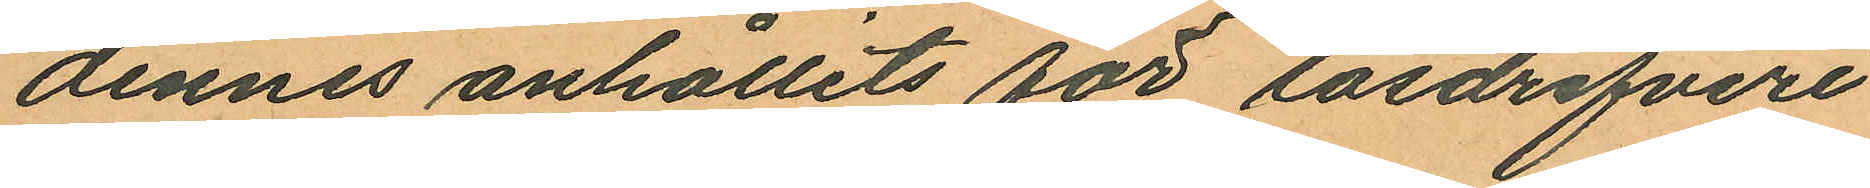dennes anhållits för lösdrifveri
